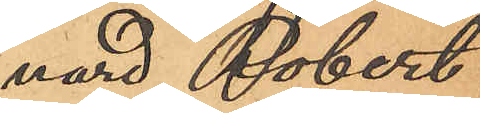nard Robert
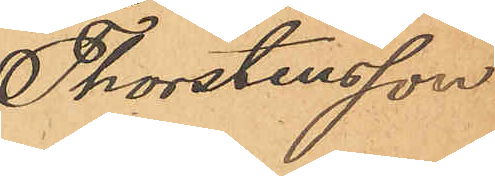Thorstensson
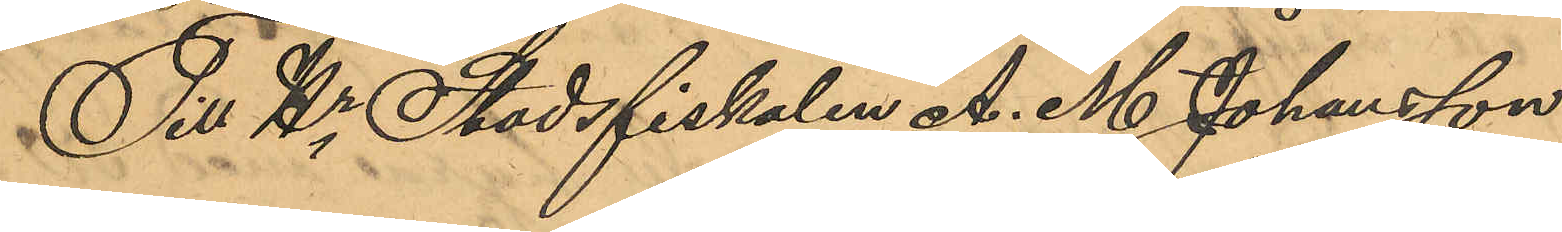Till Hr. Stadsfiskalen A. M. Johansson
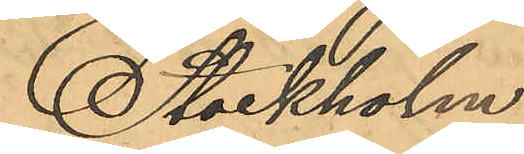Stockholm.
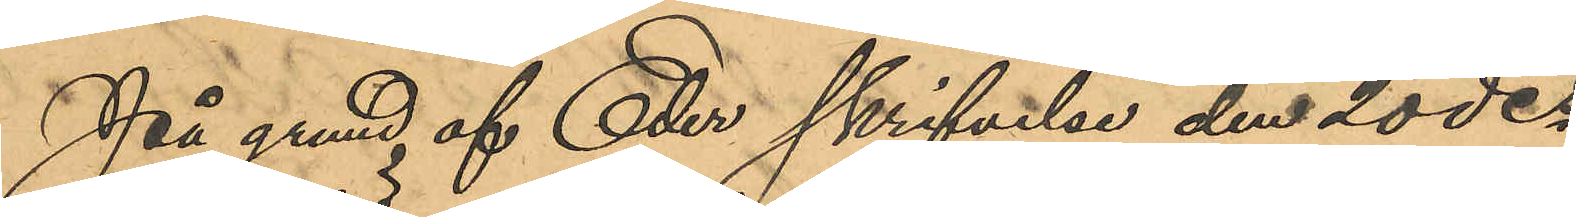På grund af Eder skrifvelse den 20 des
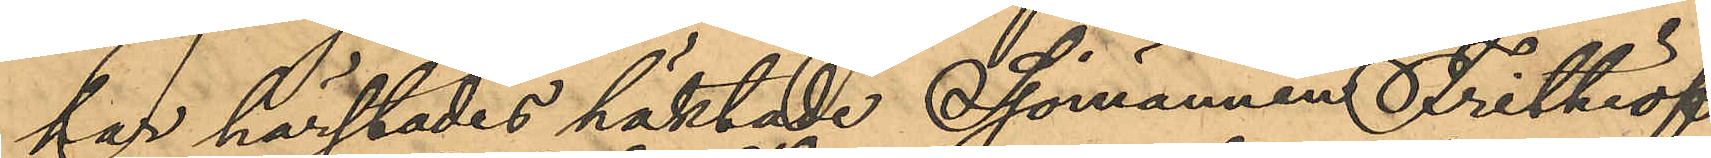har härstädes häktade Sjömannen Frithiof
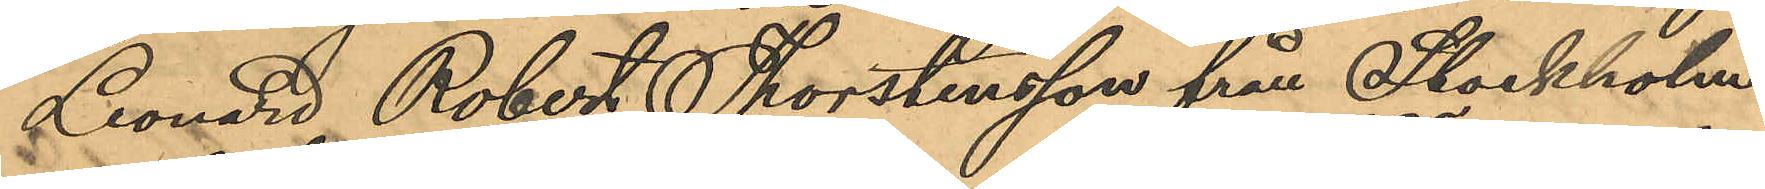Leonard Robert Thorstensson från Stockholm
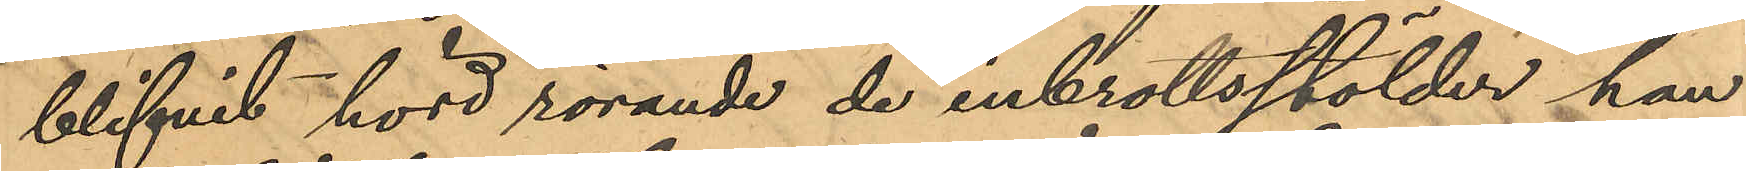blifvit hörd rörande de inbrottsstölder han
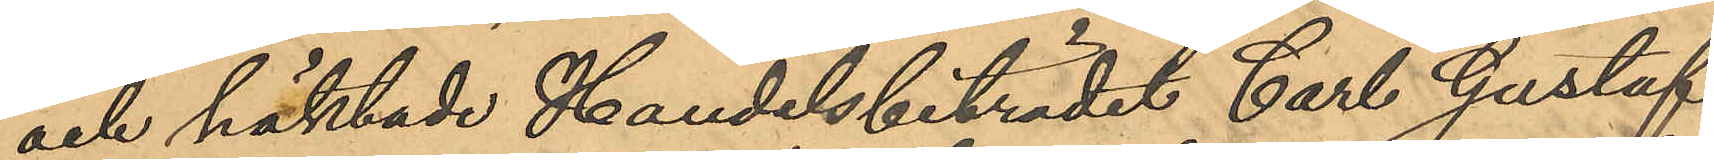och häktade Handelsbiträdet Carl Gustaf
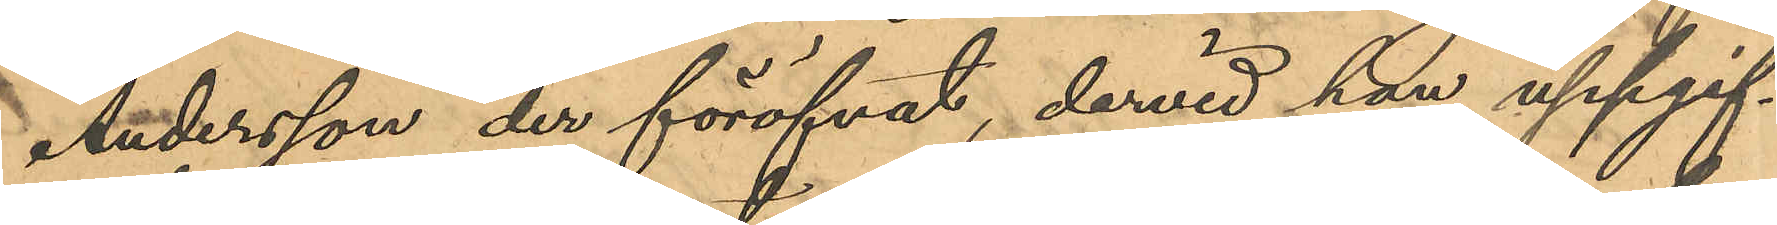Andersson der föröfvat, dervid han uppgif¬
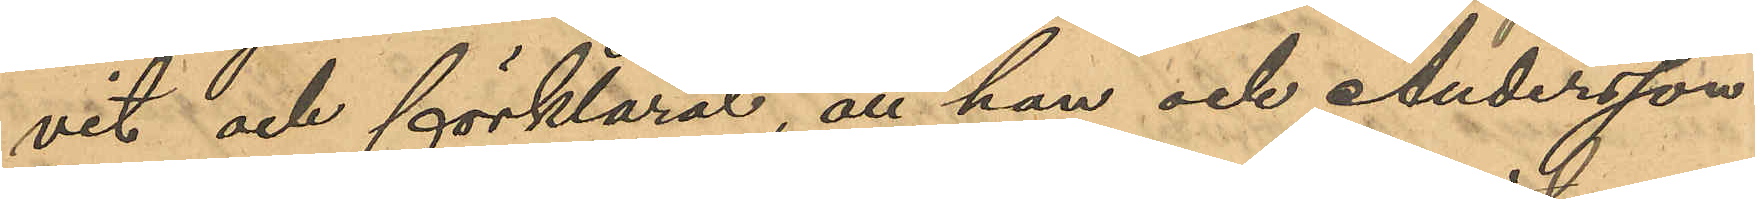vit och förklarat, att han och Andersson
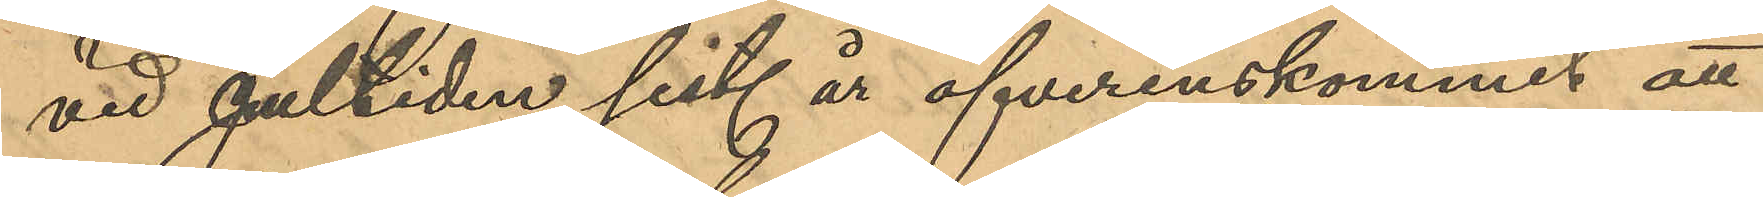vid Jultiden sist. år öfverenskommit att
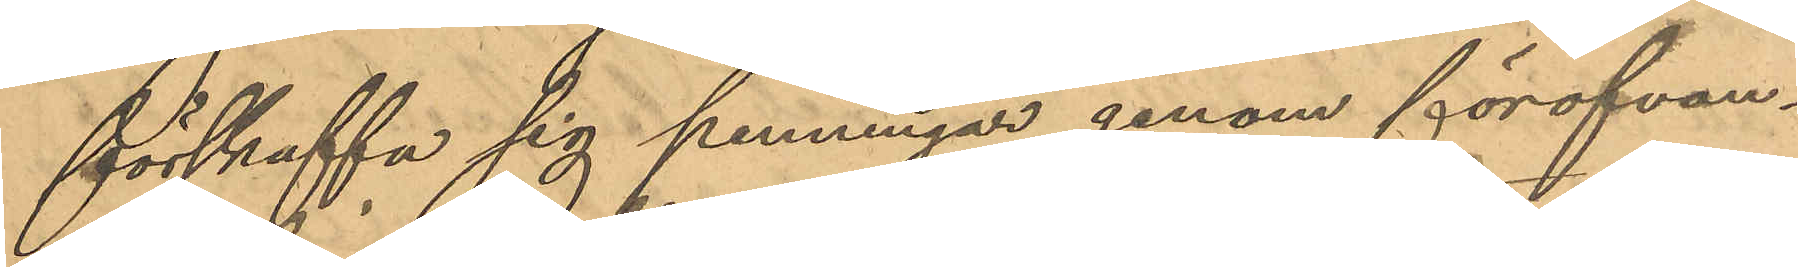förskaffa sig penningar genom föröfvan¬
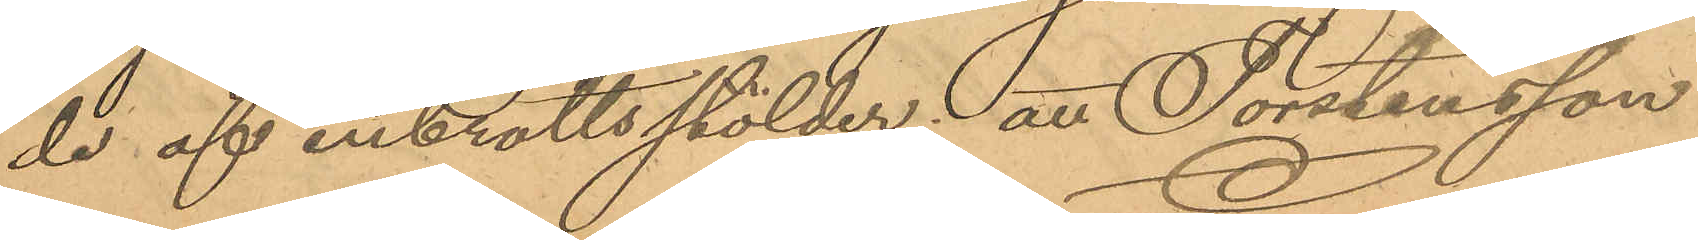de af inbrottsstölder; att Torstensson
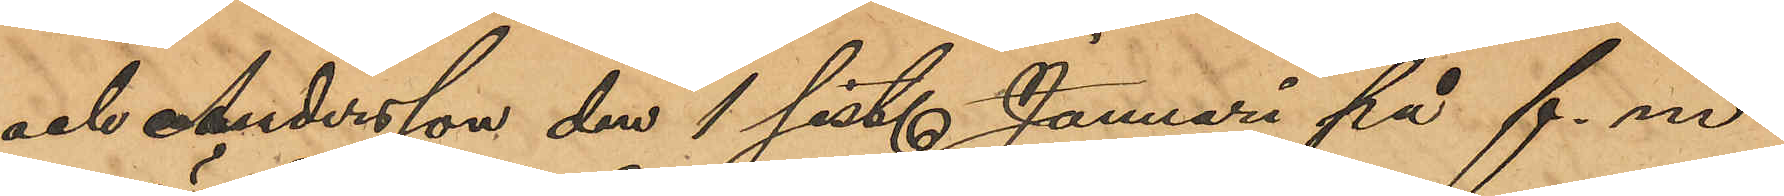och Andersson den 1 sist. Januari på f. m.
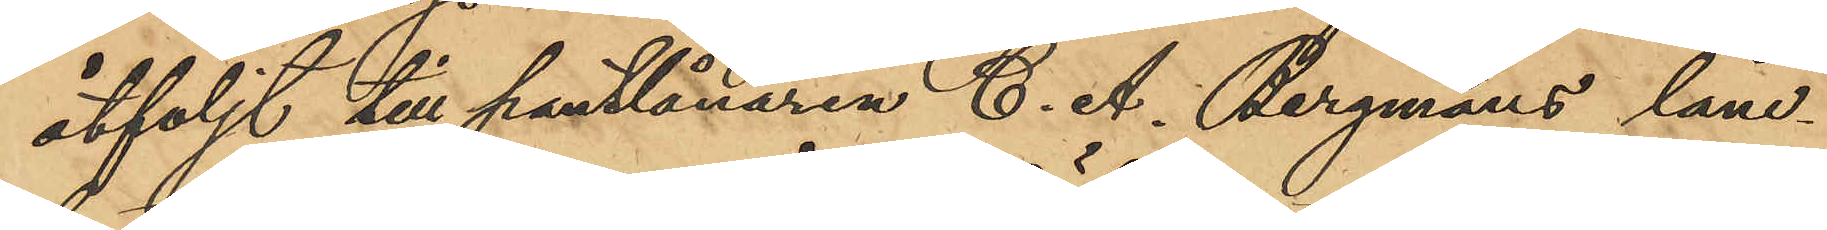åtföljt till pantlånaren C. A. Bergmans låne¬
